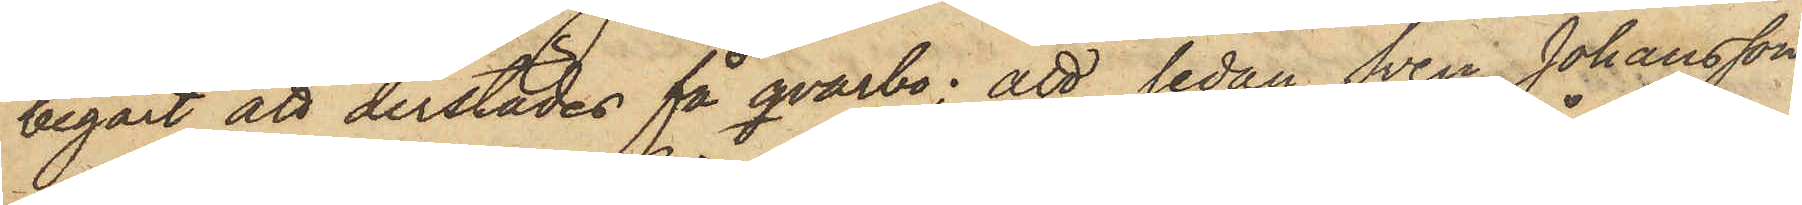begärt att derstädes få qvarbo; att sedan Sven Johansson
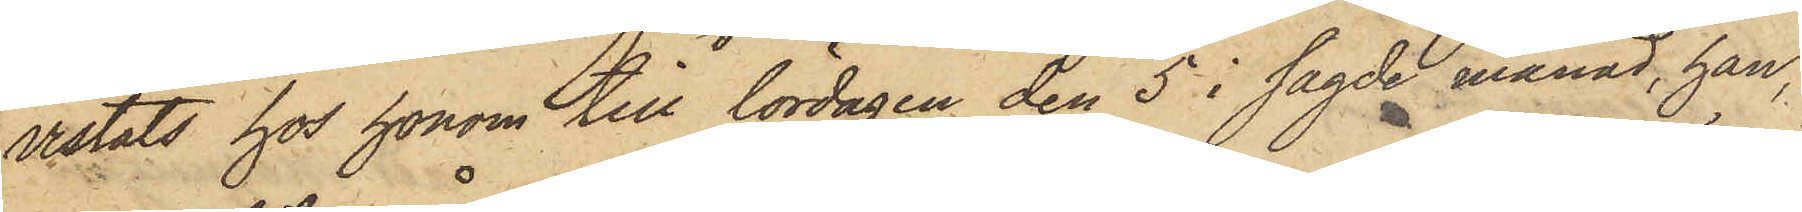vistats hos honom till lördagen den 5 i sagde månad, han,
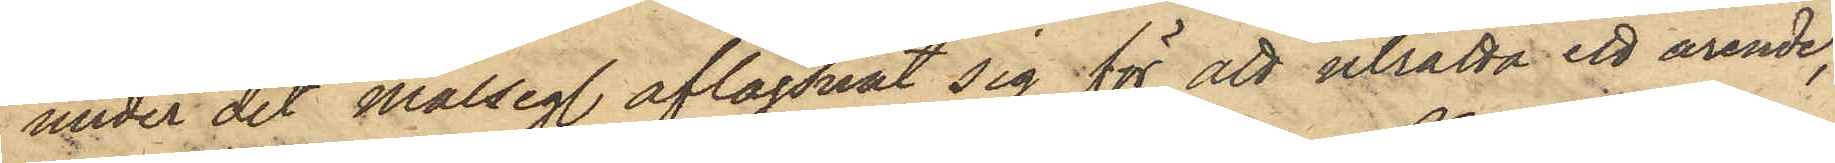under det målseg. aflägsnat sig för att uträtta ett ärende,
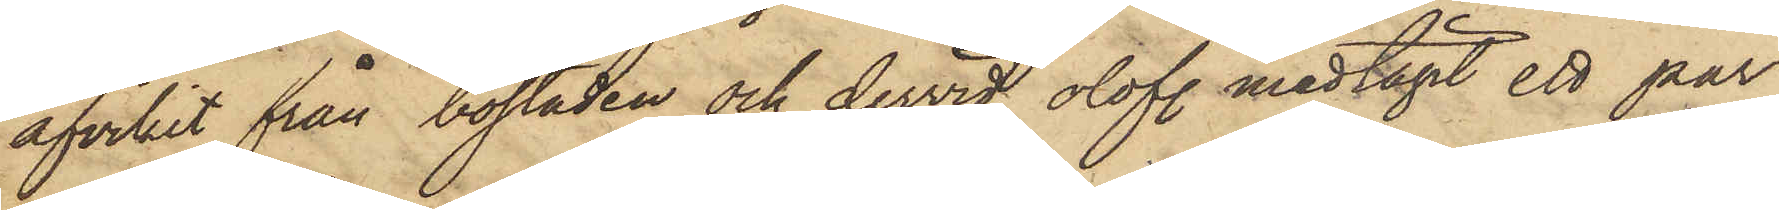afvikit från bostaden och dervid olofl. medtagit ett par
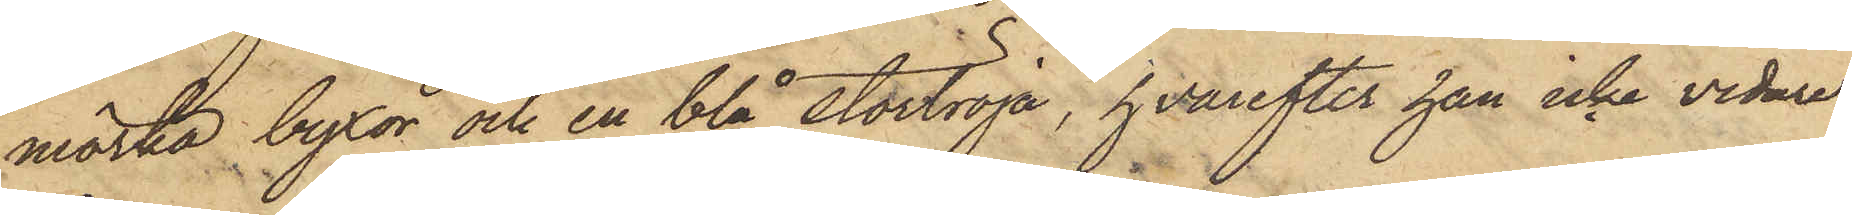mörka byxor och en blå stortröja, hvarefter han icke vidare
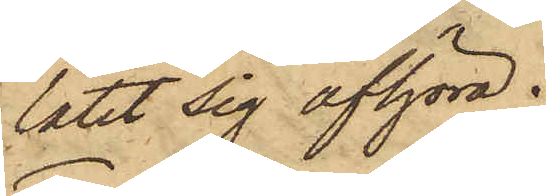låtit sig afhöra.
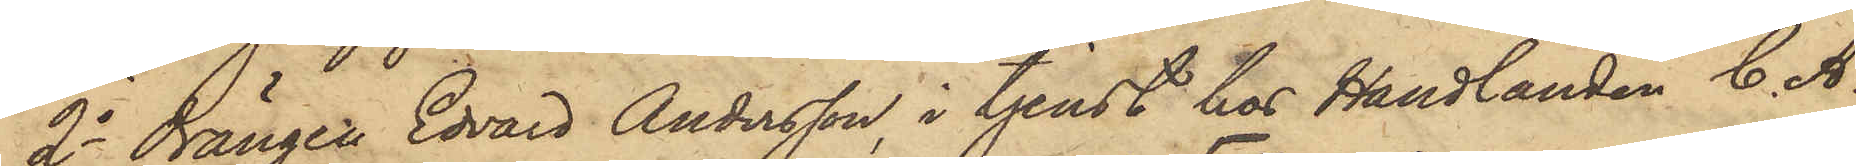2o Drängen Edvard Andersson, i tjenst hos Handlanden C. A.
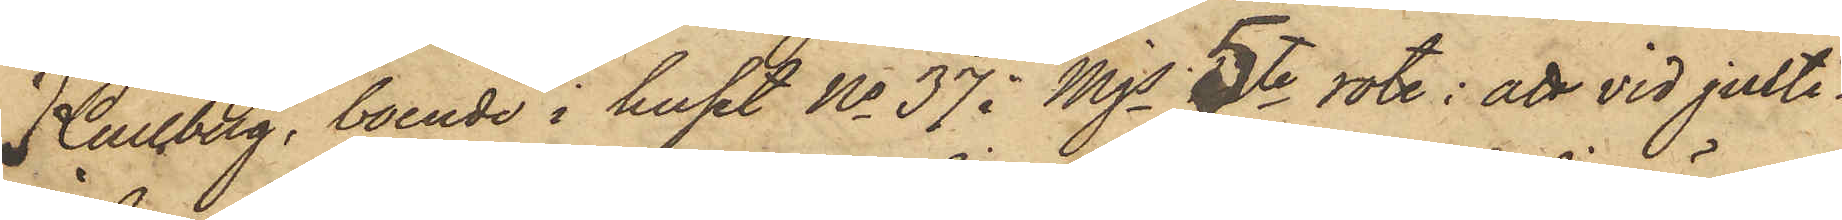Kullberg, boende i huset No 37 i Mjs 5te rote: att vid julti¬
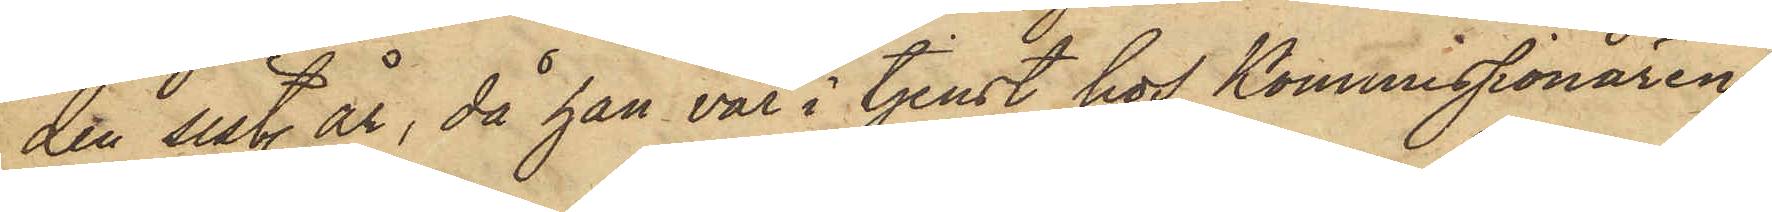den sist. år, då han var i tjenst hos Kommissionären
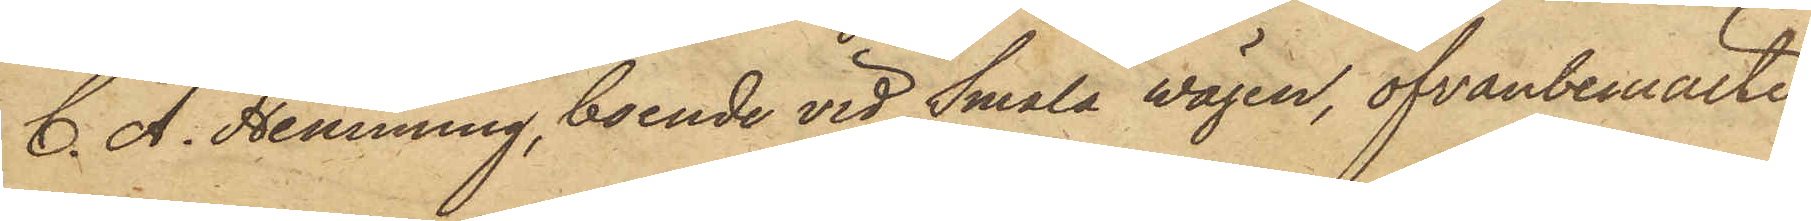C. A. Henning, boende vid Smala vägen, ofvanbemälte
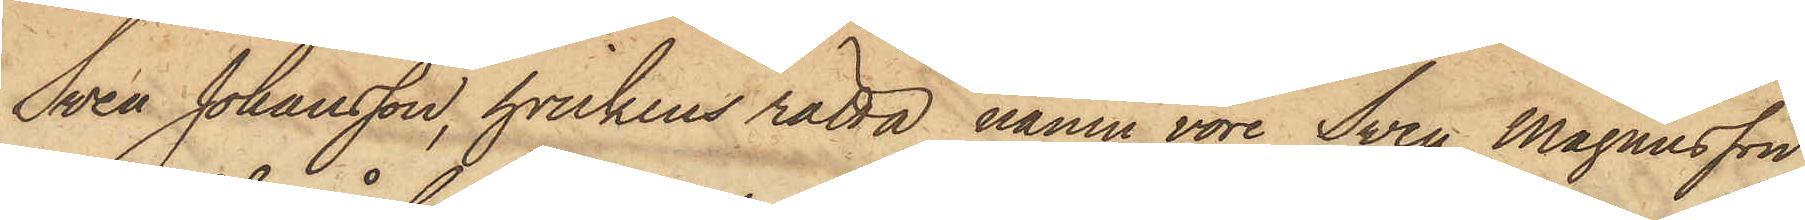Sven Johansson, hvilkens rätta namn vore Sven Magnusson,
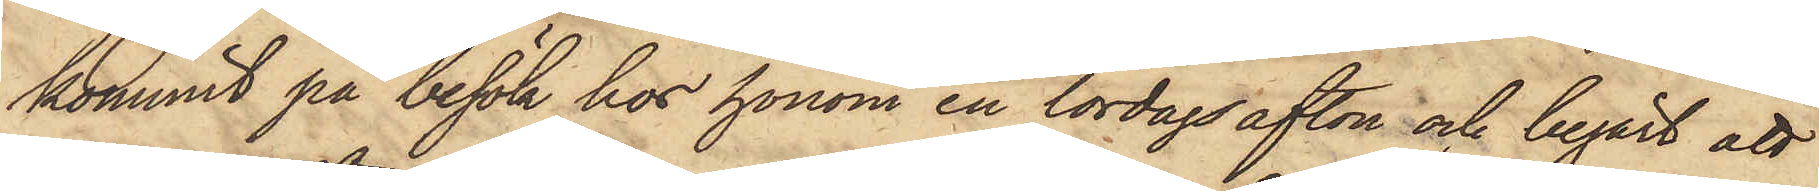kommit på besök hos honom en lördagsafton och begärt att
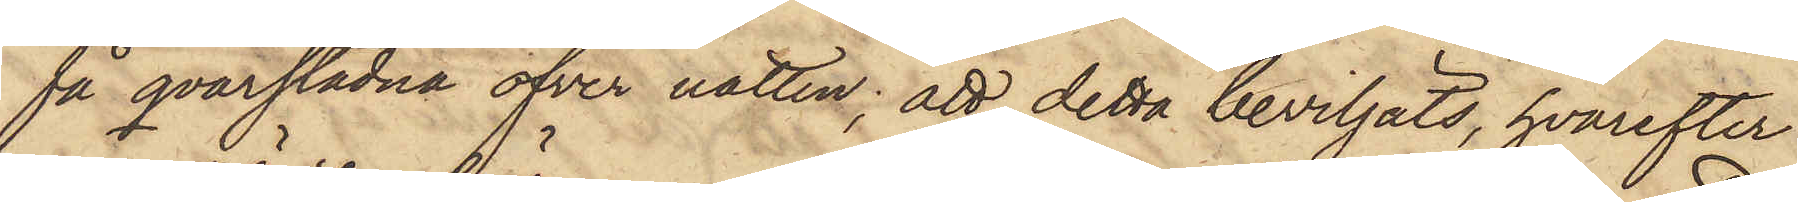få qvarstadna öfver natten; att detta beviljats, hvarefter
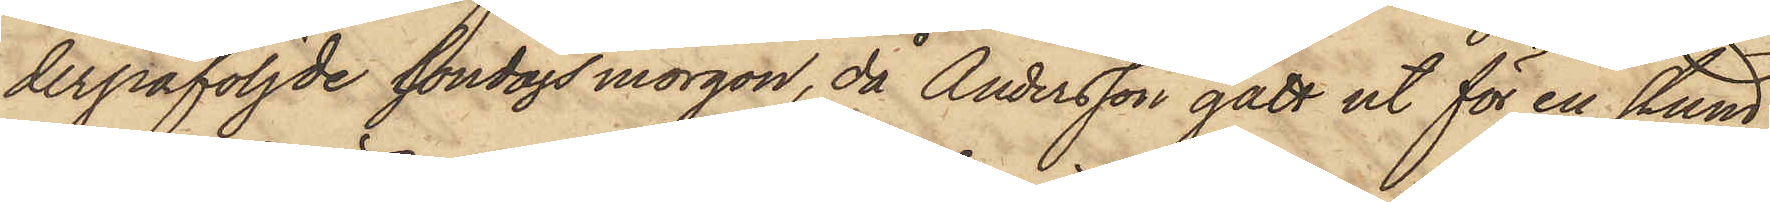derpåföljde söndagsmorgon, då Andersson gått ut för en stund,
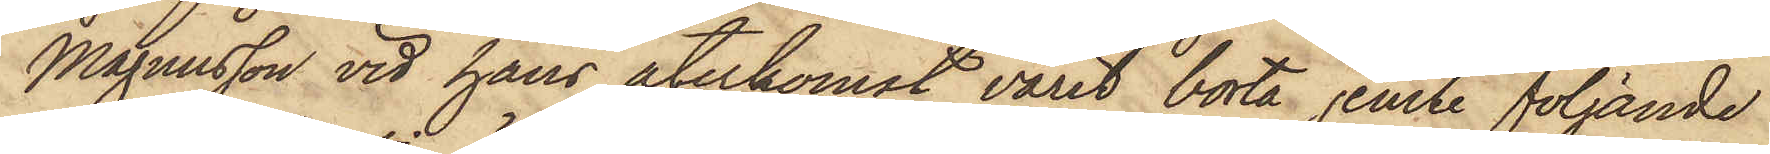Magnusson vid hans återkomst varit borta jemte följande
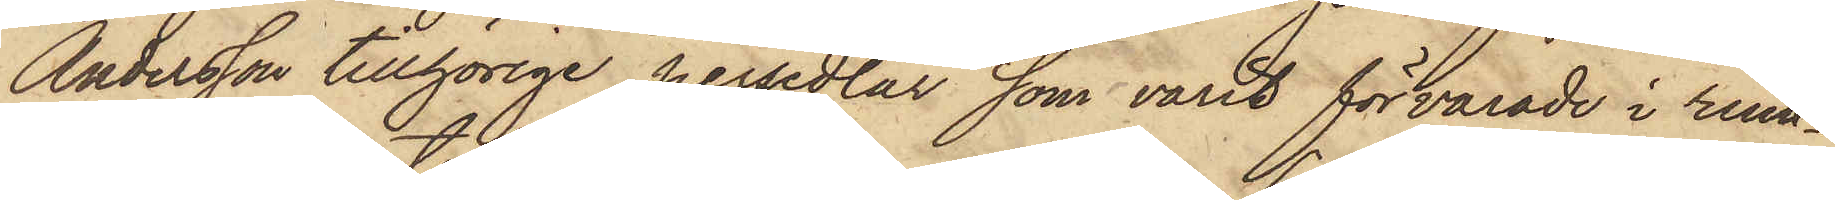Andersson tillhörige persedlar som varit förvarade i rum¬
